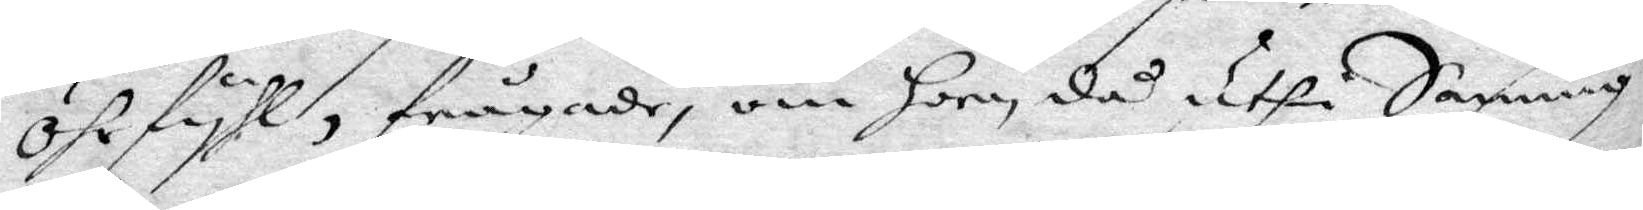öhrfyhl, frågade, om hon då uthi Sanning
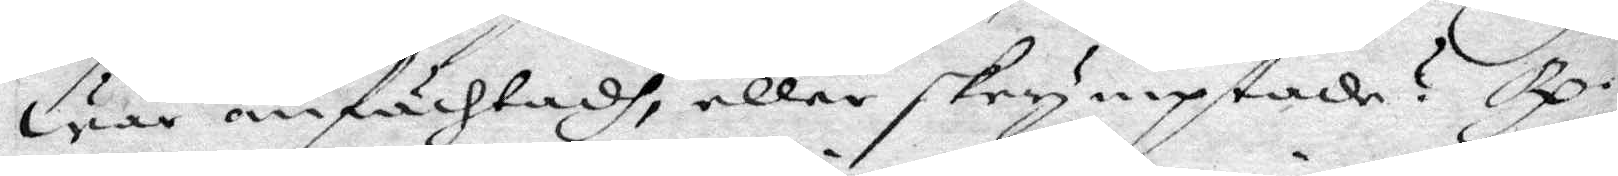war anfächtadt, eller skrymptade? Rp. 
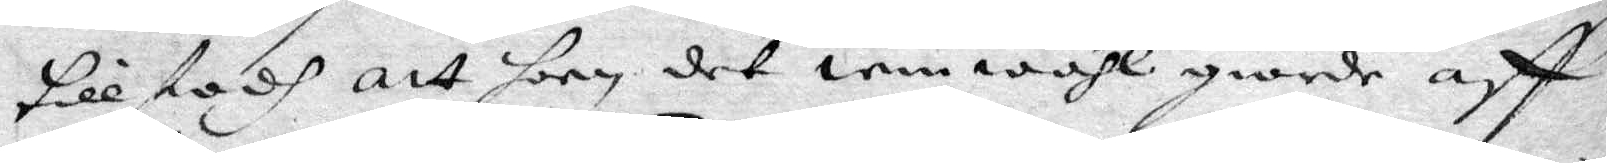tillstodh att hon det iemwähl giorde aff
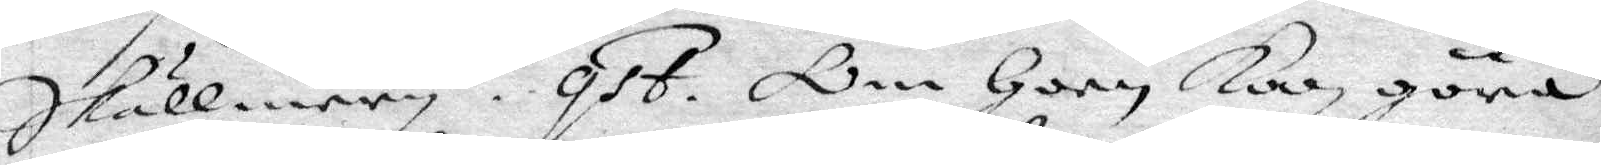skällmery. qst. Om hon kan göra 
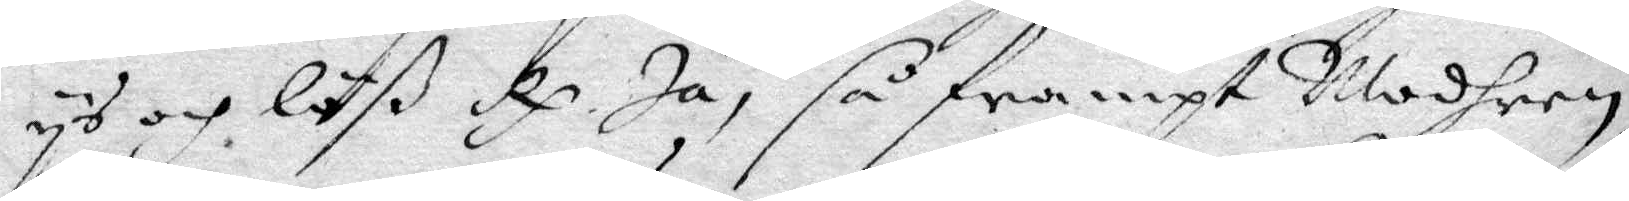ys och löß Rp. Ja, så frampt Modren 
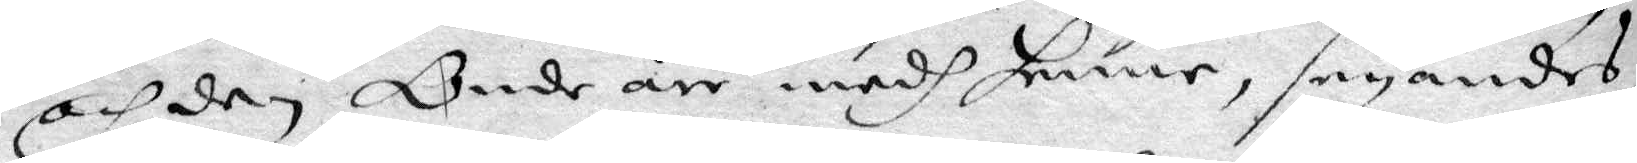och den Onde är medh henne, seyandes
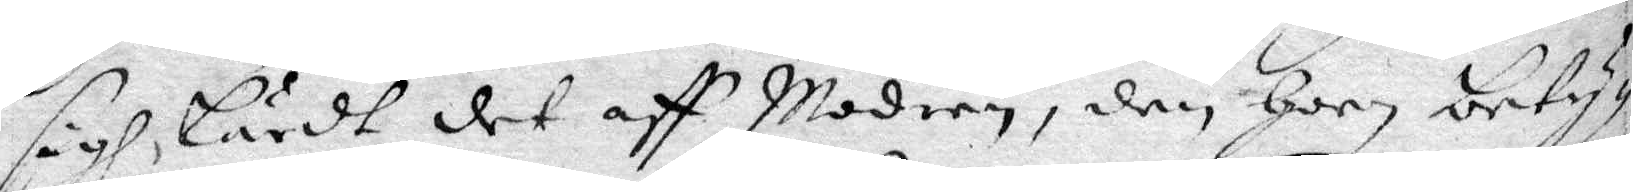sigh lärdt det aff Modren, den hoon bety¬
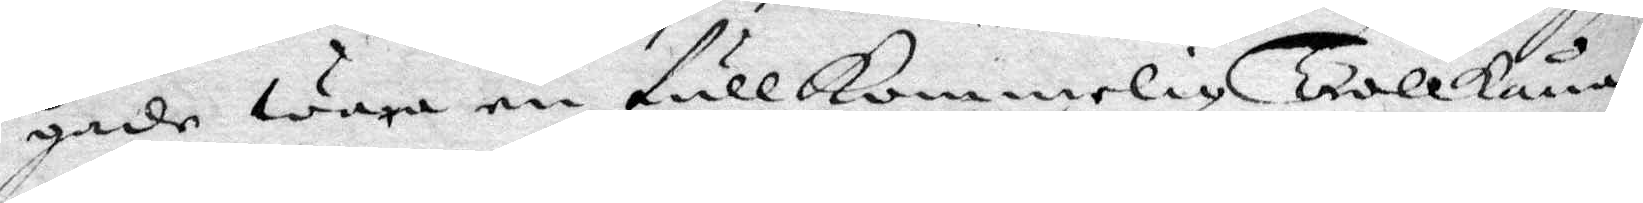gade wara en fullkommelig Trollkåna,
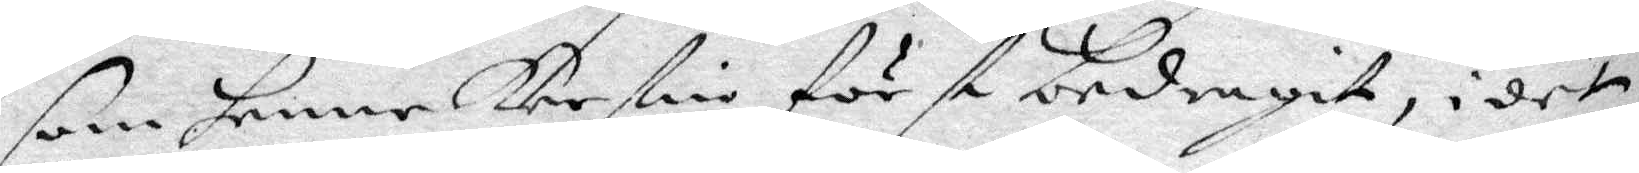som henne Kerstin först bedragit, i det
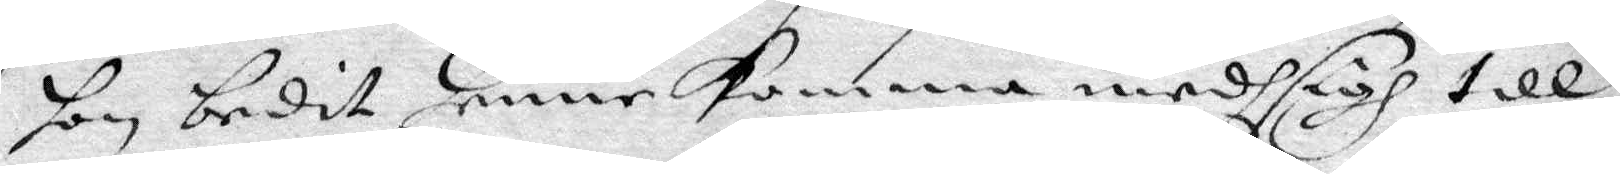hon bedit henne komma medh sigh till
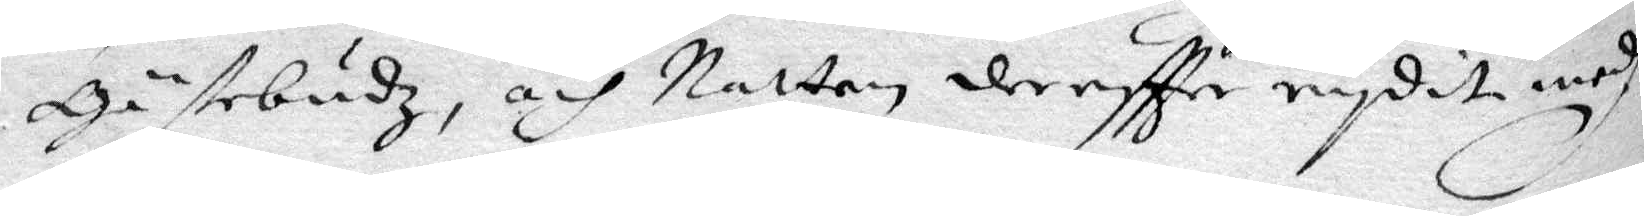Gästebudz, och Natten dereftter rydit medh
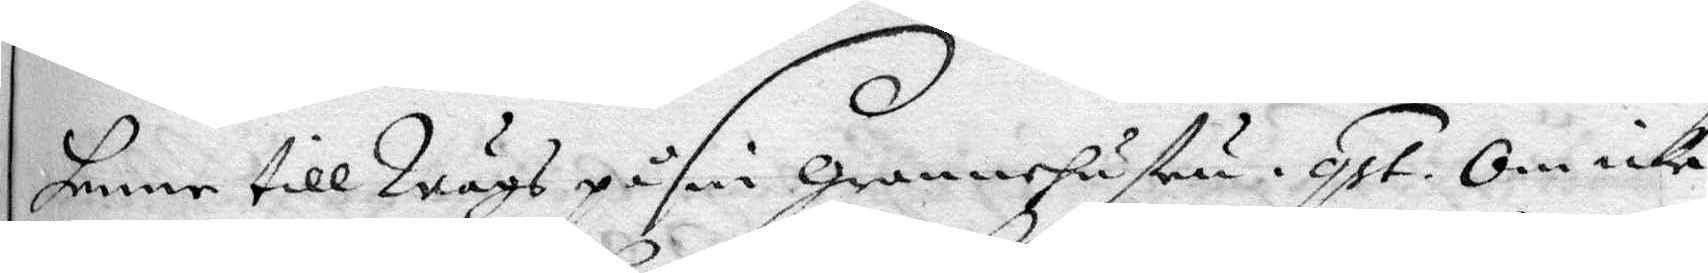henne till Wägs på sin grannhustru. qst. Om icke
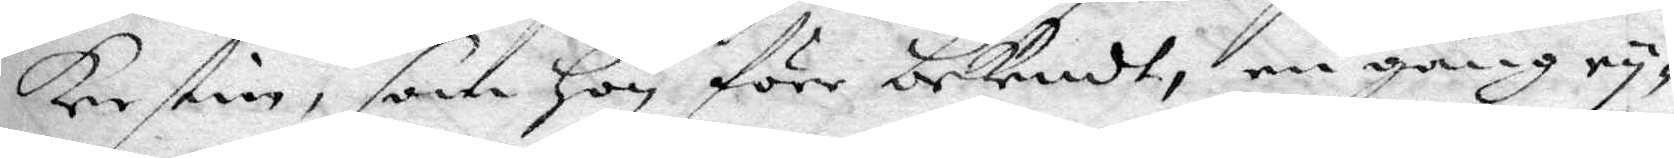Kerstin, som hon före bekendt, en gång ry¬
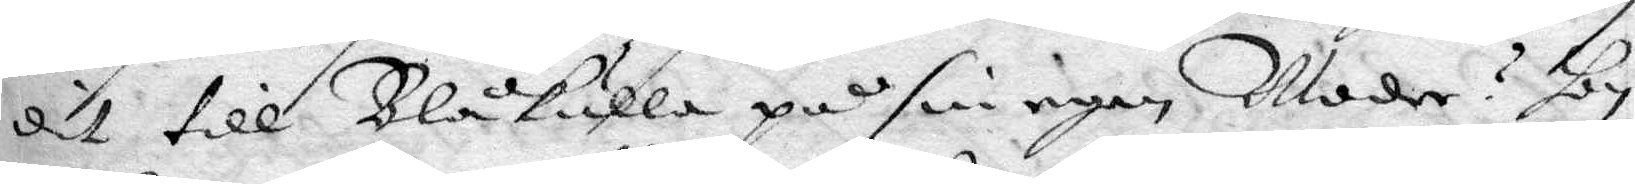dit till Blåkulla på sin egen Moder? hon
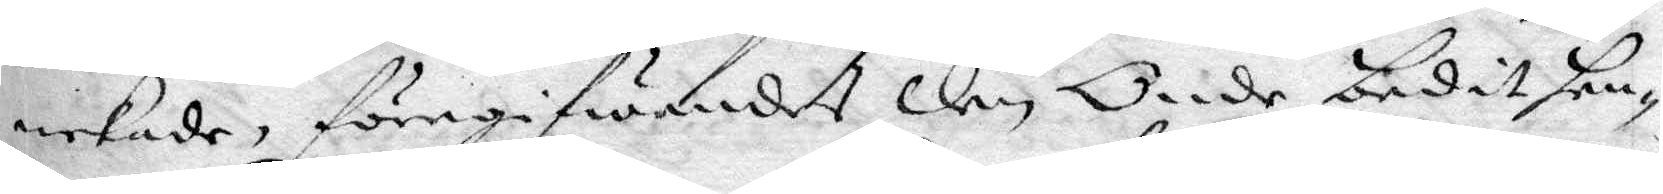nekade, föregifwandes den Onde bedit hen¬
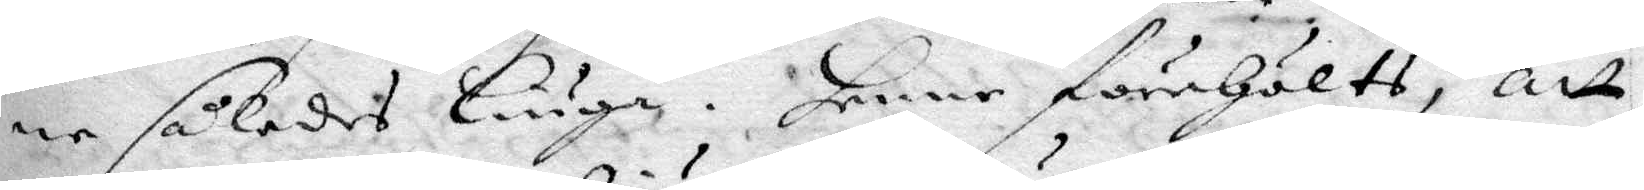ne således liuga. henne förehölts, att
